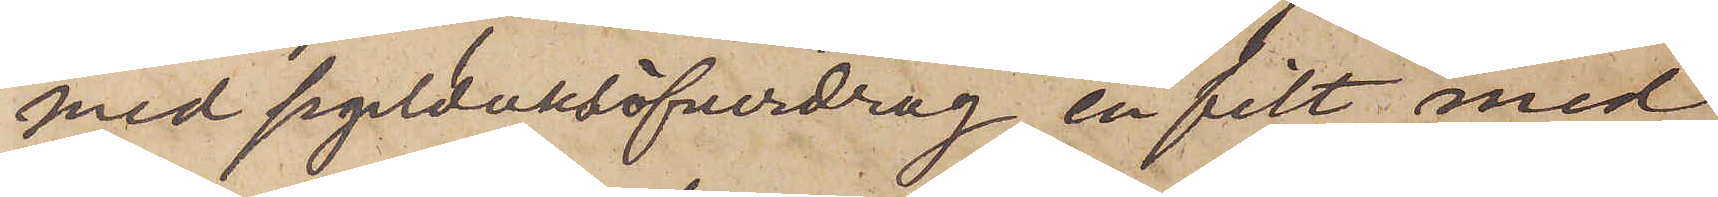med segelduksöfverdrag, en filt med
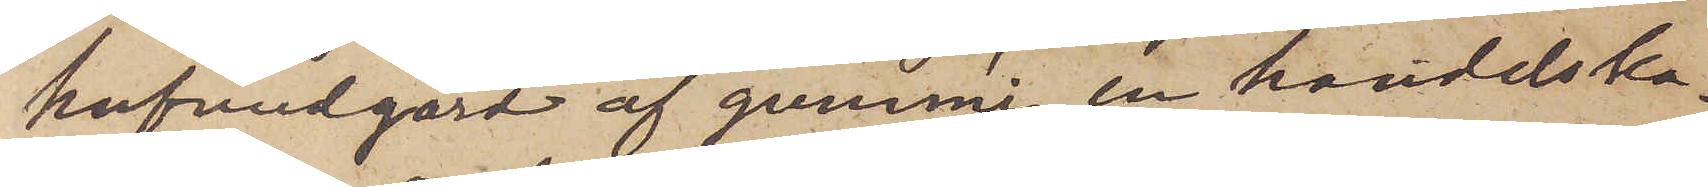hufvudgärd af gummi, en handelska¬
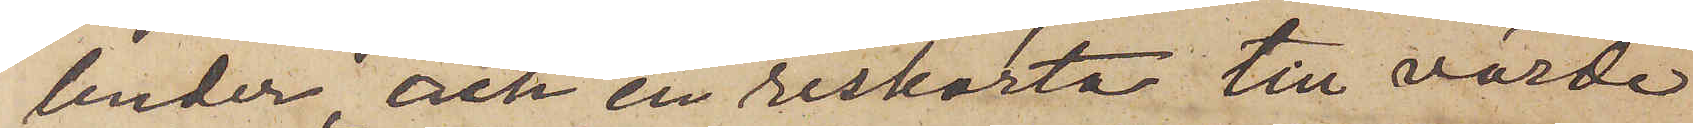lender och en reskarta till värde
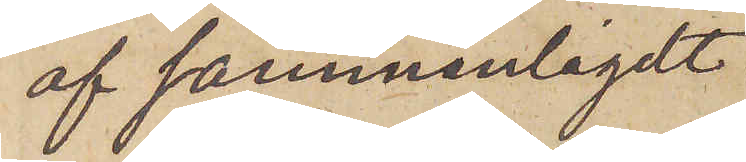af sammanlagdt
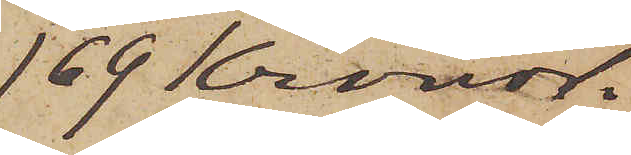169 Kronor.
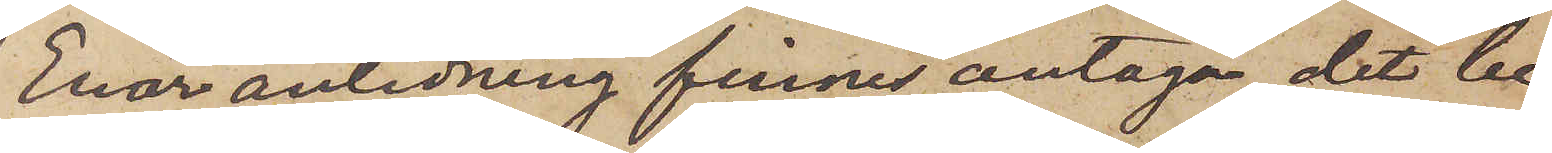Enär anledning finnes antaga, det be¬
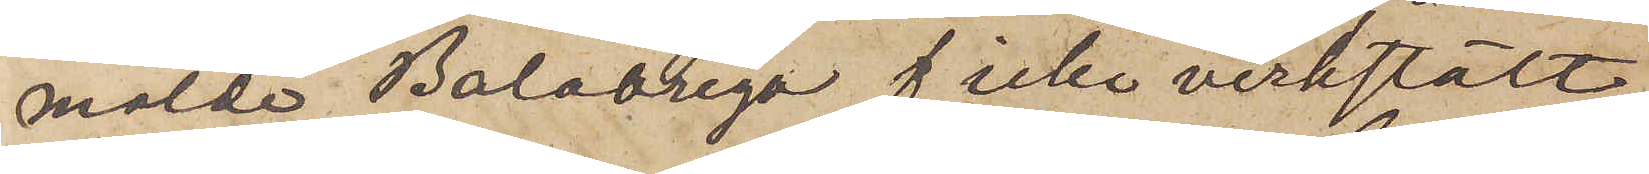mälde Baladrega f icke verkstält
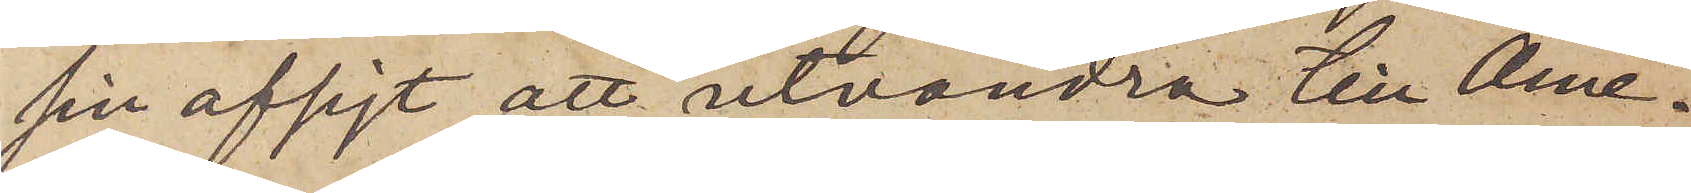sin afsigt att utvandra till Ame¬
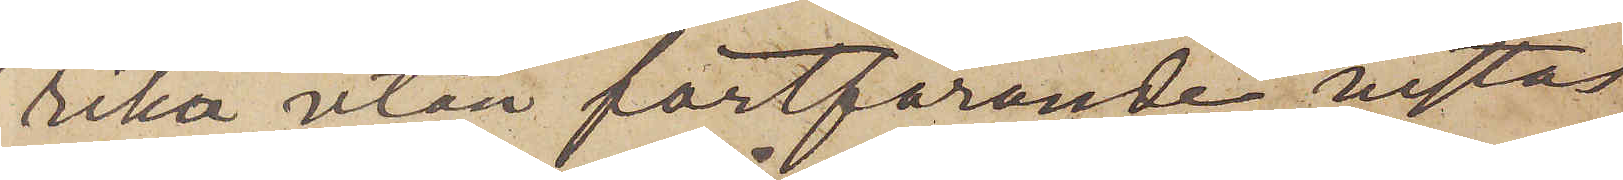rika utan fortfarande vistas
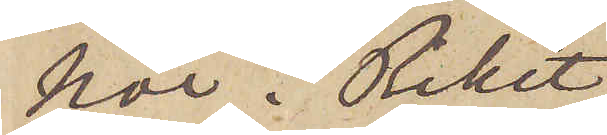här i Riket
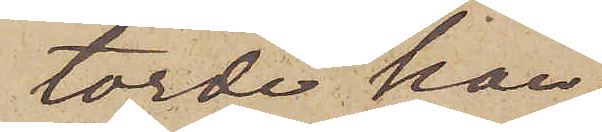torde han
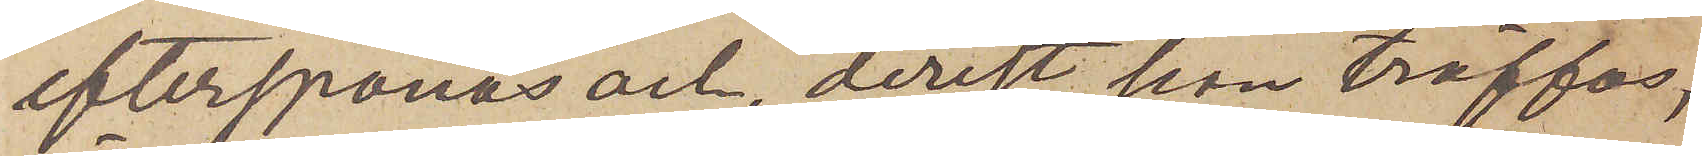efterspanas och, derest han träffas,
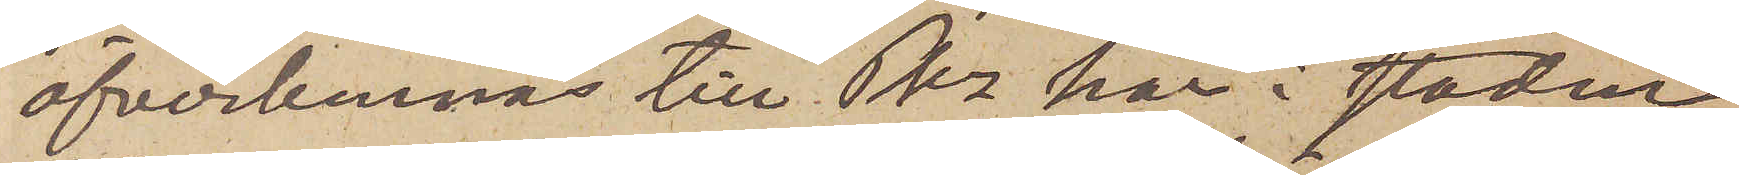öfverlemnas till Pkn här i staden
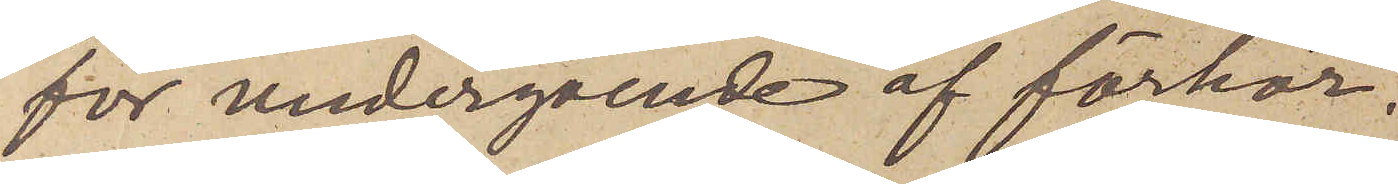för undergående af förhör.
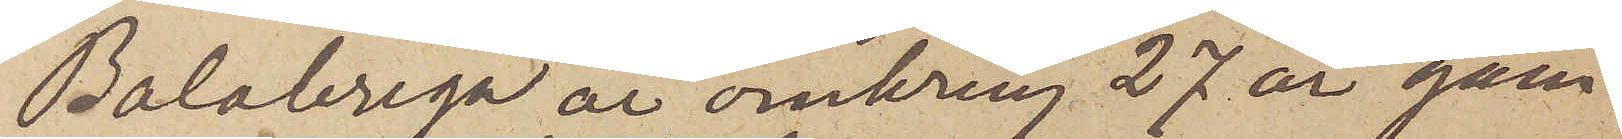Balabrega är omkring 27 år gam¬
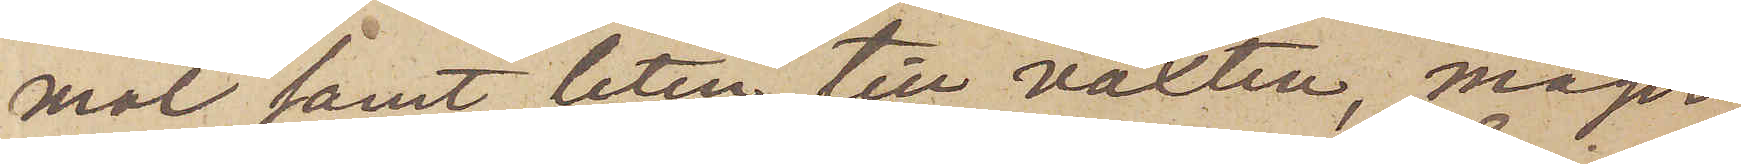mal samt liten till växten, mager
